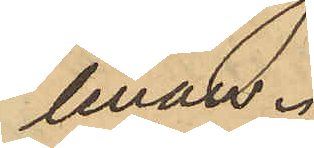linan.
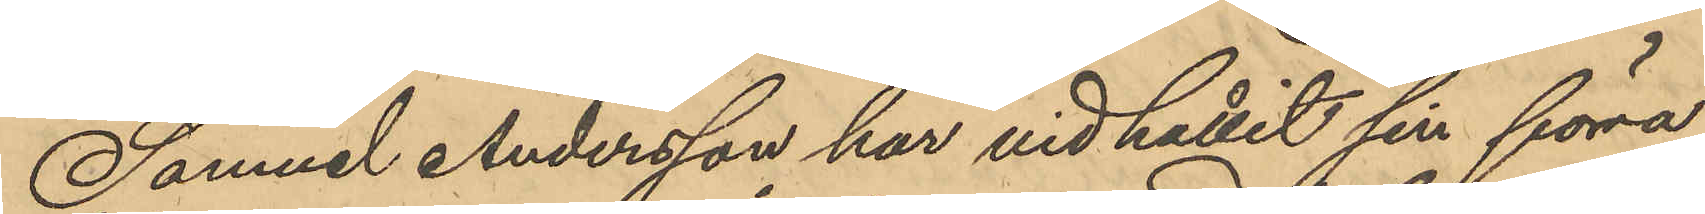Samuel Andersson har vid hållit sin förra
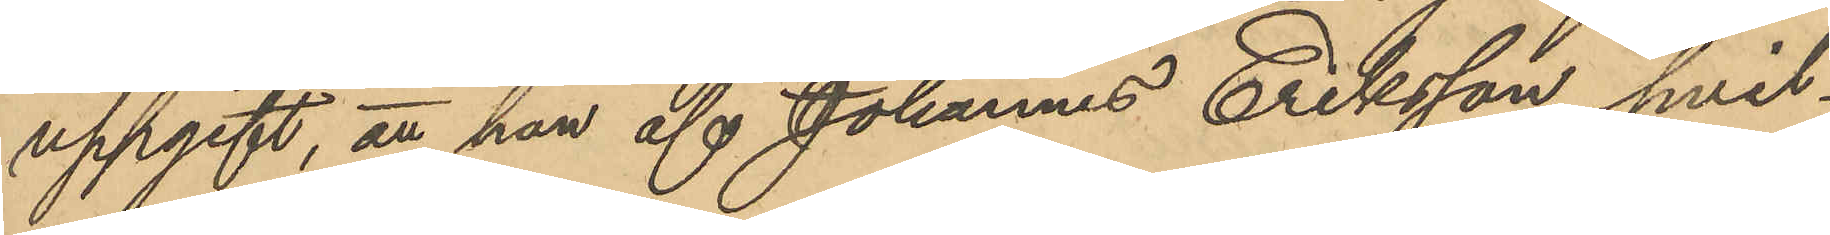uppgift, att han af Johannes Eriksson, hvil¬
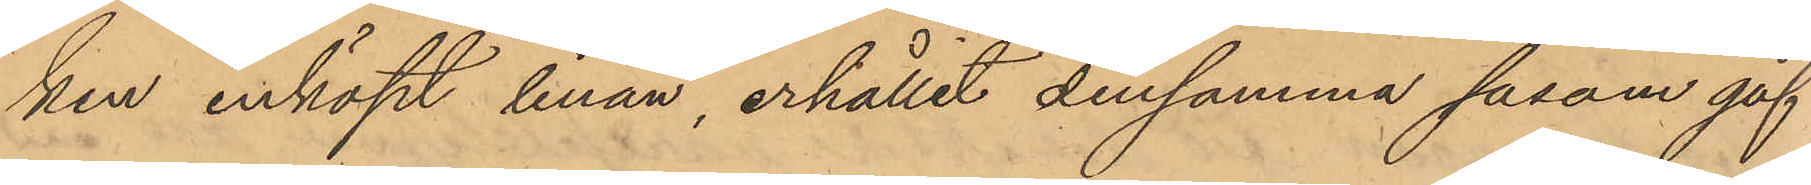ken inköpt linan, erhållit densamma såsom gåf¬
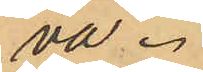va.
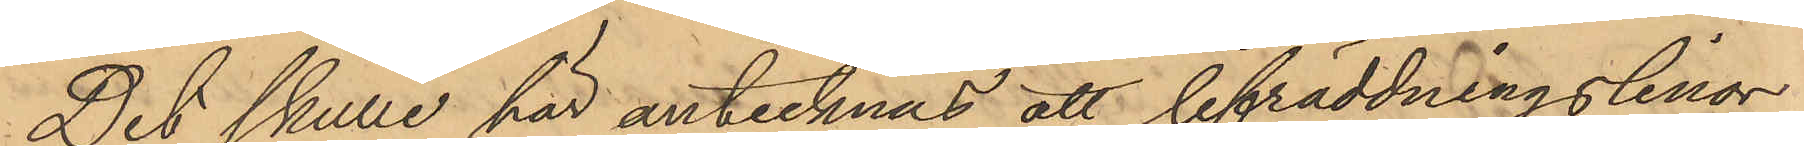Det skulle här antecknas att lifräddningslinor¬
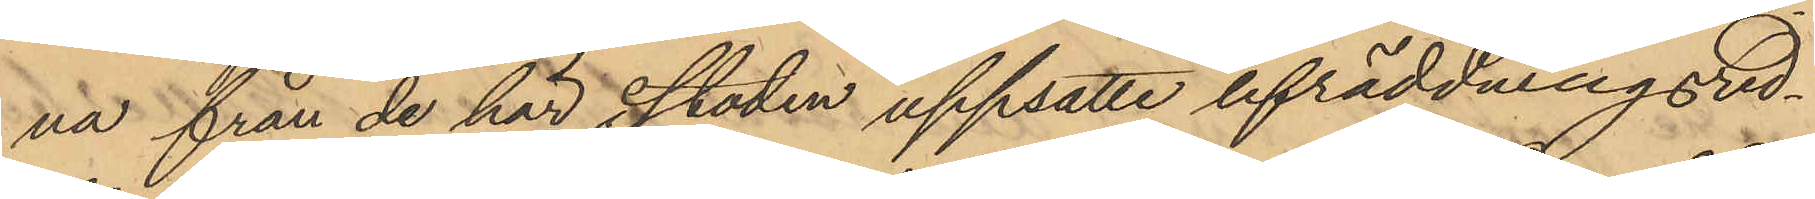na från de här i staden uppsatte lifräddningsred¬
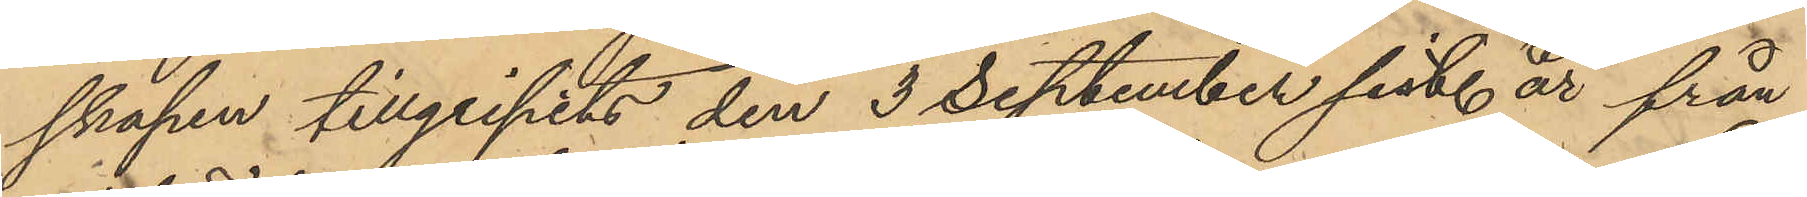skapen tillgripits den 3 September sist. år från
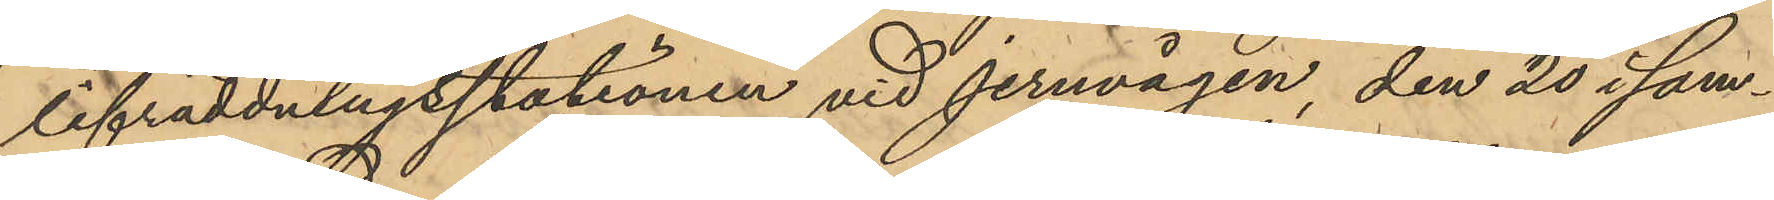lifräddningsstationen vid jernvägen, den 20 i sam¬
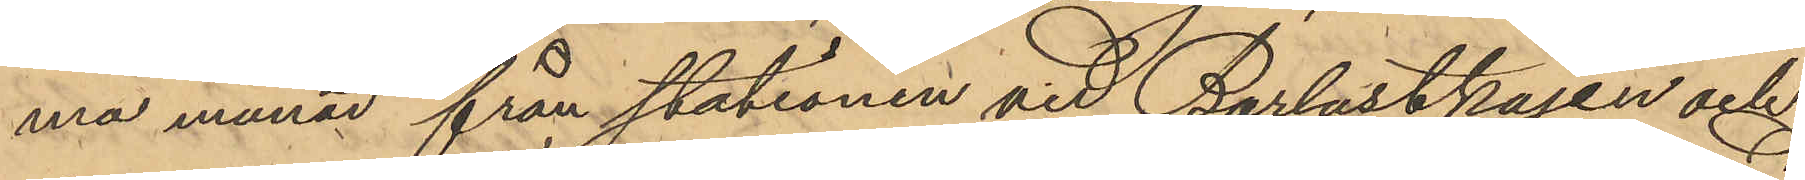ma månad från stationen vid Barlastkajen och
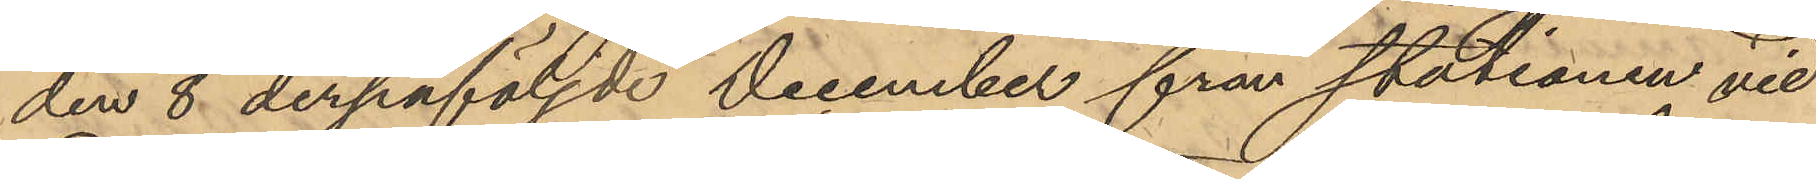den 8 derpåföljde December från stationen vid
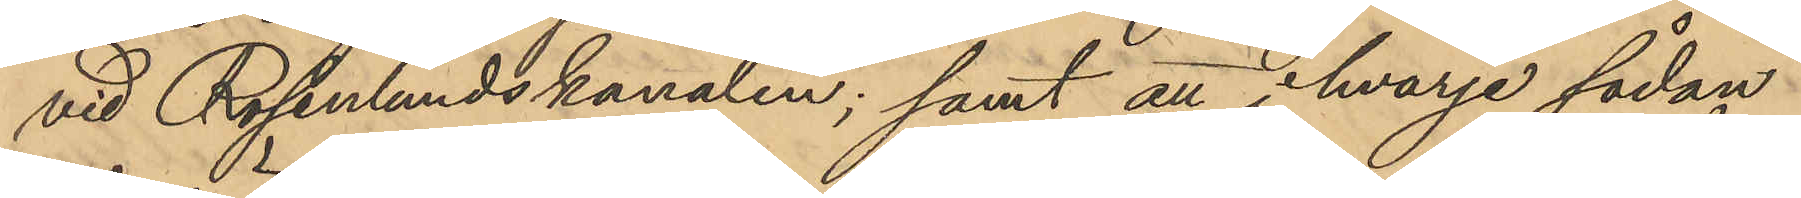vid Rosenlundskanalen; samt att i hvarje sådan
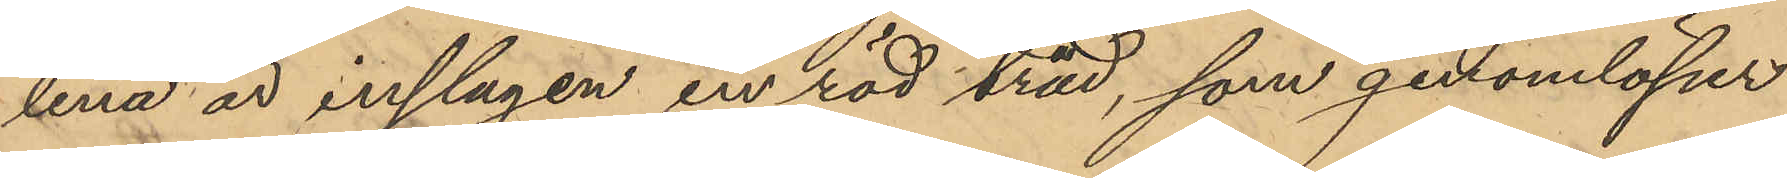lina är inslagen en röd tråd, som genomlöper
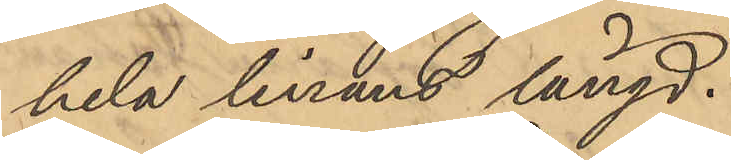hela linans längd.
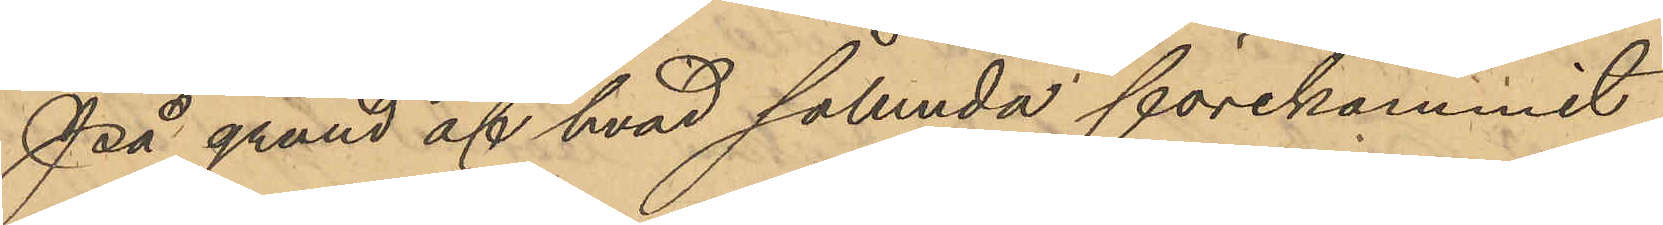På grund af hvad sålunda förekommit
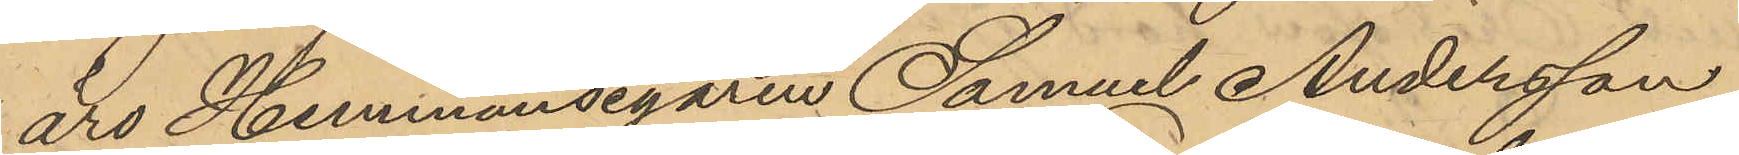äro Hemmansegaren Samuel Andersson
